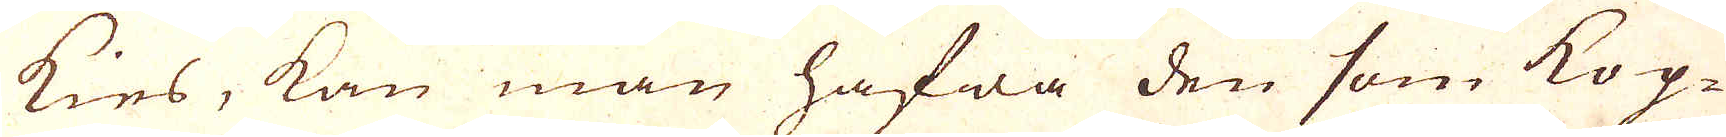kies, kan man hafwa den som Kop-
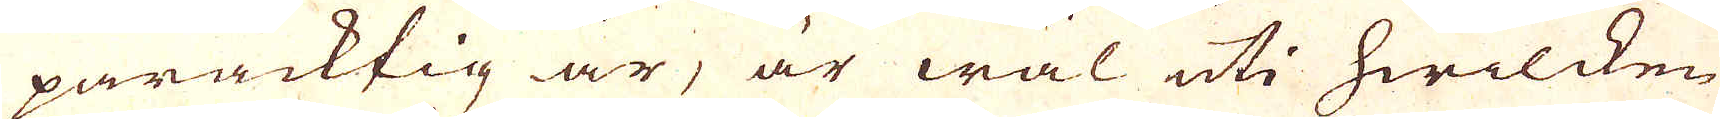paracktig är, är wäl uti hwilcken
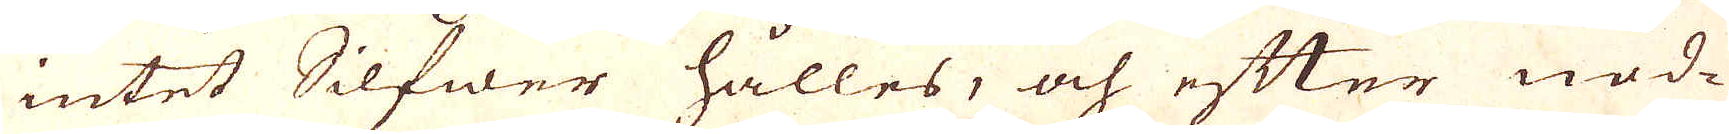intet Silfwer hålles, och efter nöd-
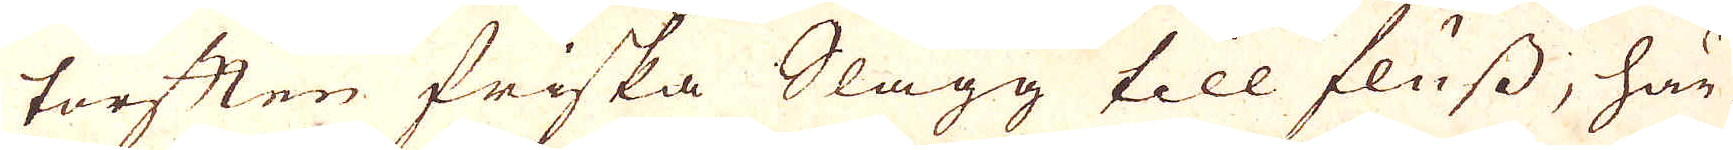torften friska Slagg till fluss, här
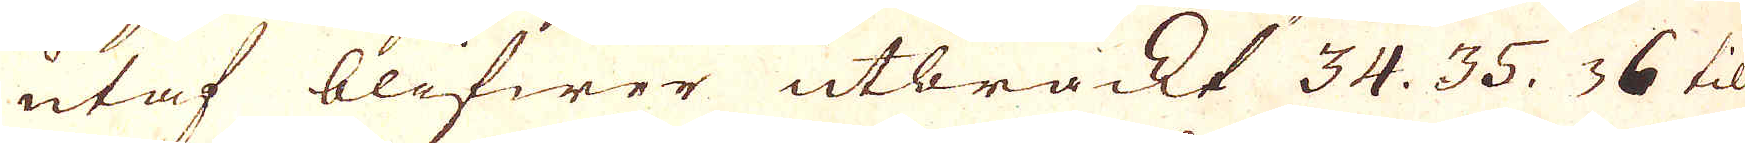utaf blifwer utbräckt 34. 35. 36 til
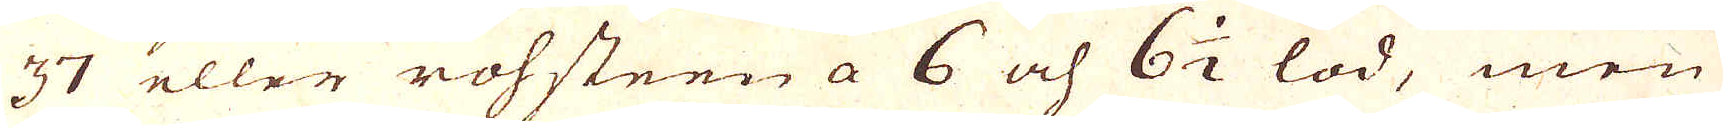37 eller rohsteen a 6 och 6 1/2 lod, men
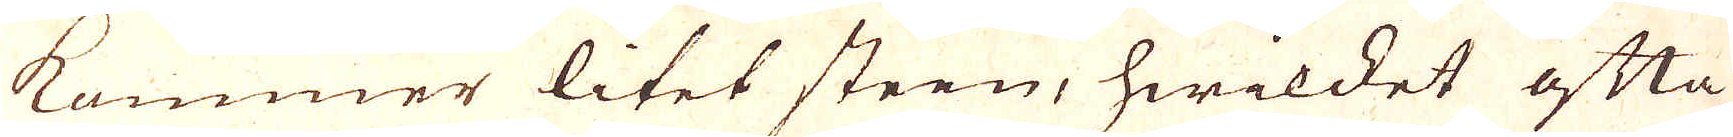kommer litet steen, hwilket ofta
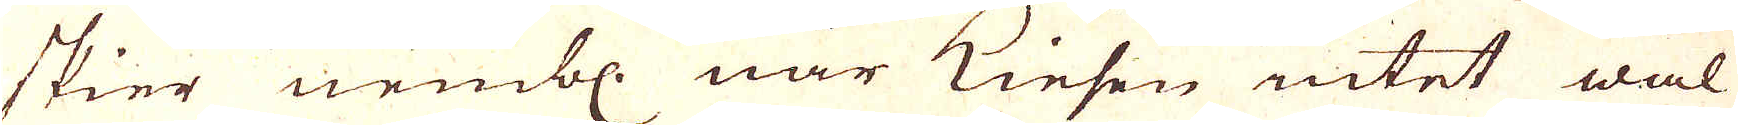skier nembl när Kiesen intet wäl
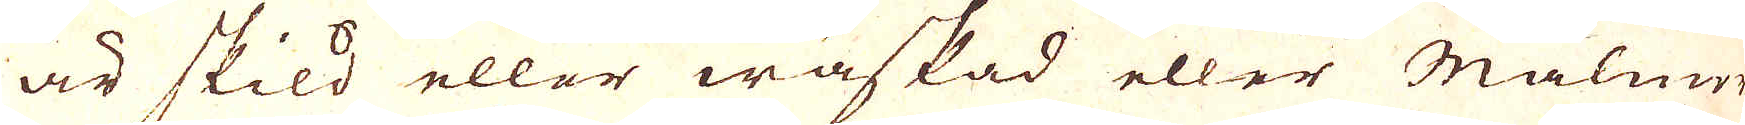är skild eller waskad eller Malme-
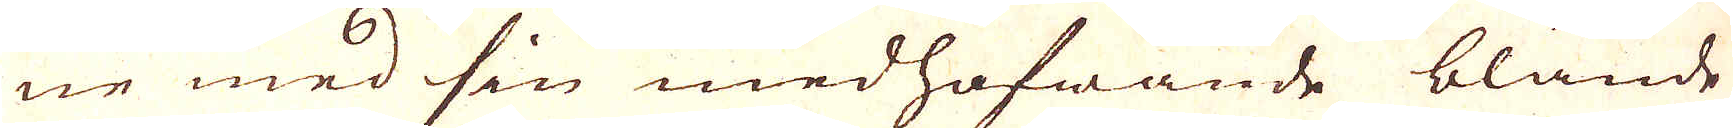ne med sin medhafwande blände
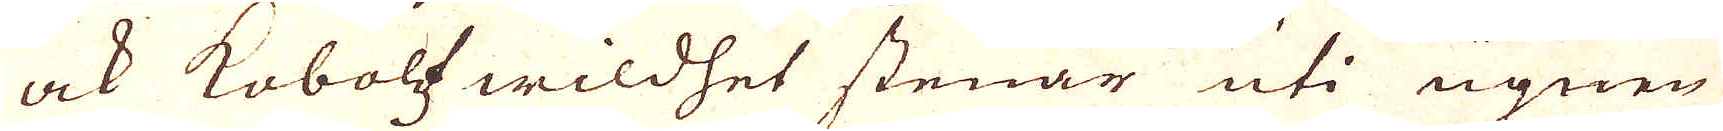ock Koboltz wildhet stenar uti ugnen
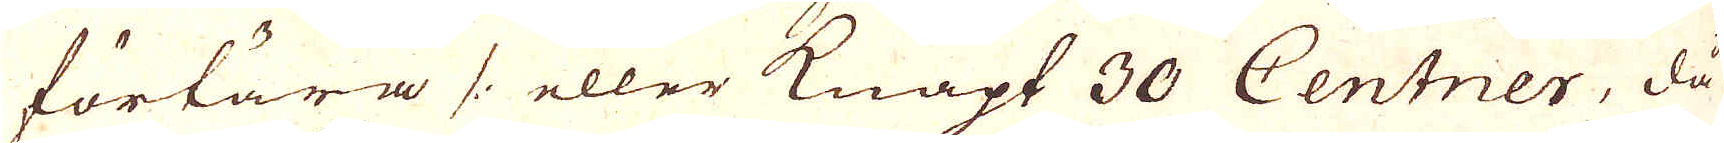förtära /: eller knapt 30 Centner, då
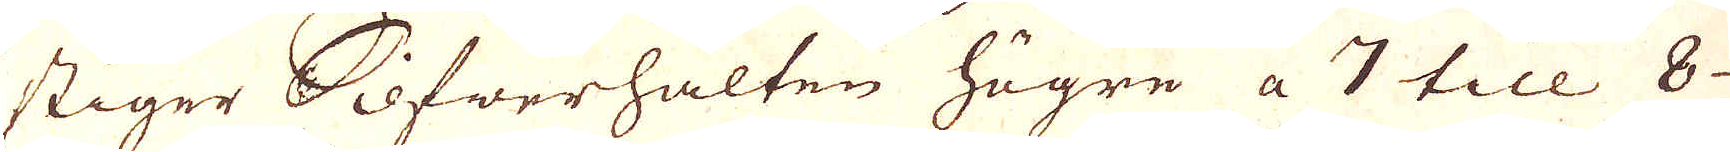stiger Silfwerhälten högre a 7 till 8-
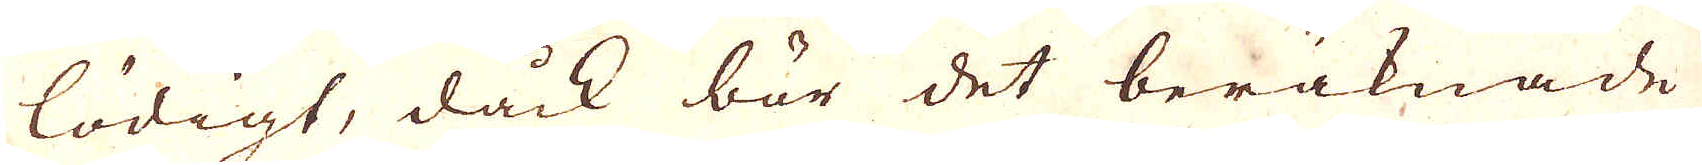lödigt, dock bör det beräknade
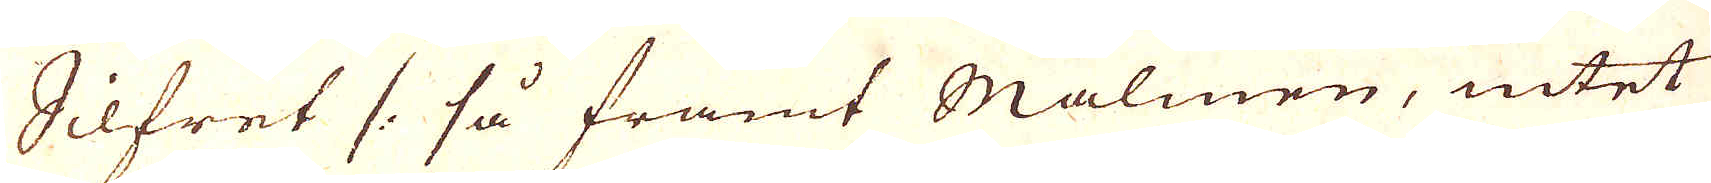Silfret /. så framt Malmen, intet
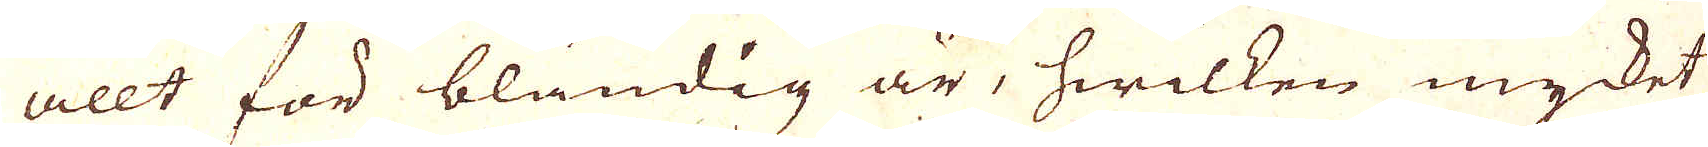allt för bländig är, hwilken mycket
